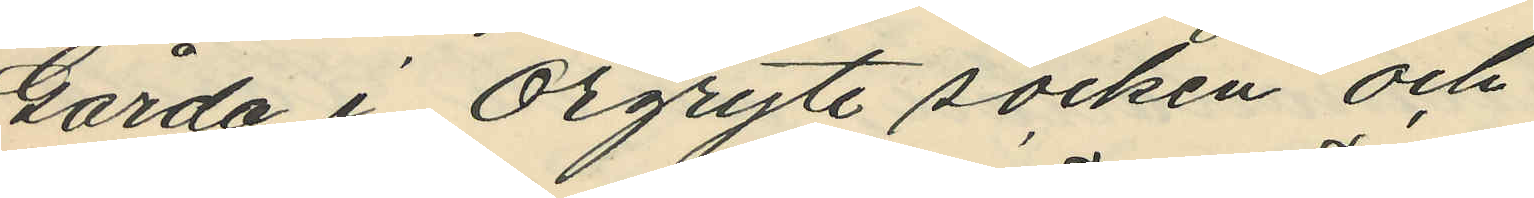Gårda i Örgryte socken och
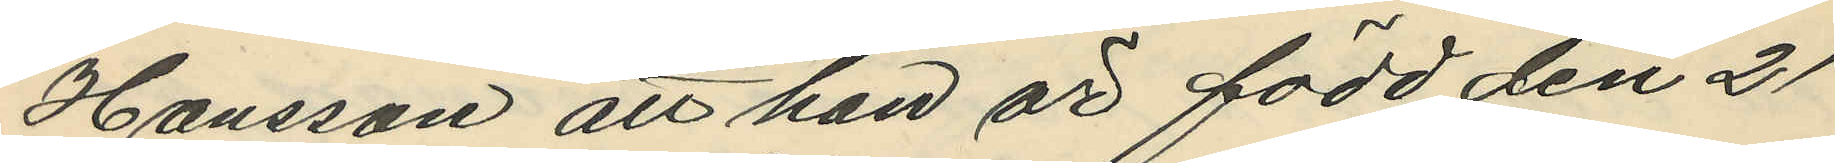Hansson att han är född den 21
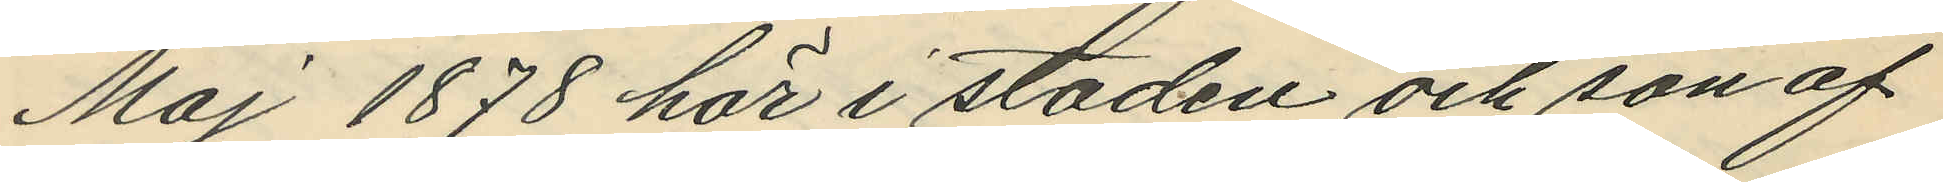Maj 1878 här i staden och son af
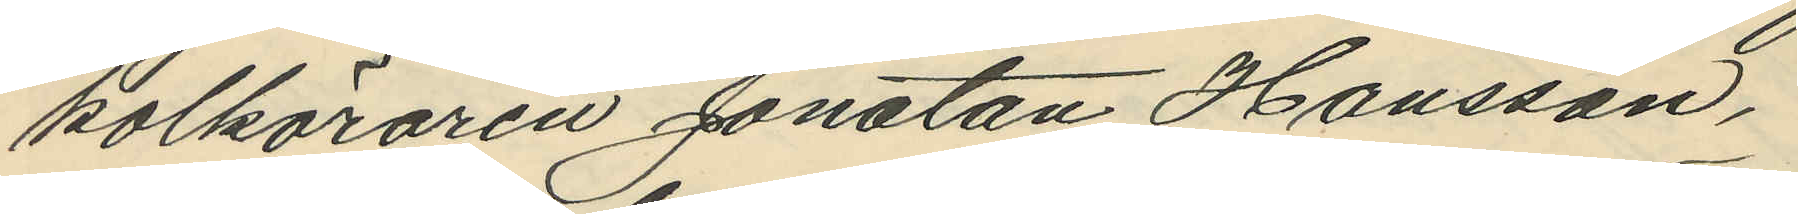kolköraren Jonatan Hansson,
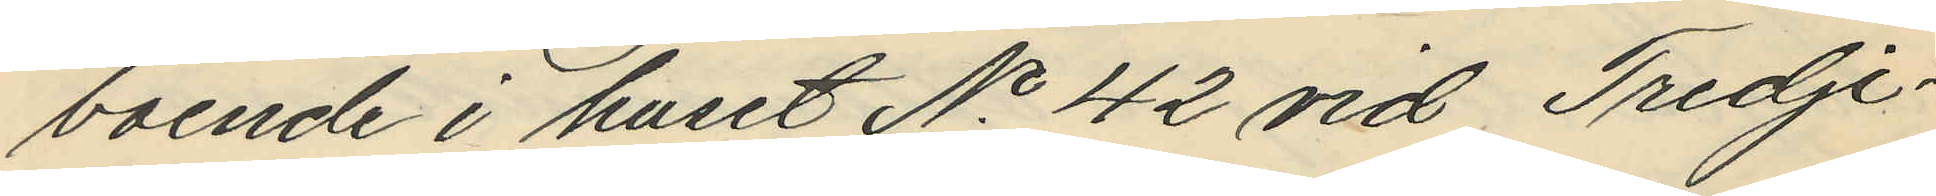boende i huset No 42 vid Tredje¬
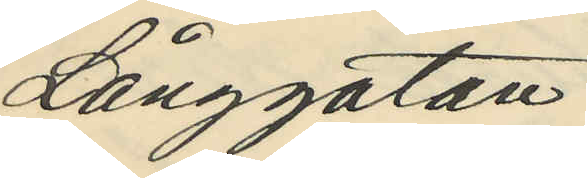Långgatan.
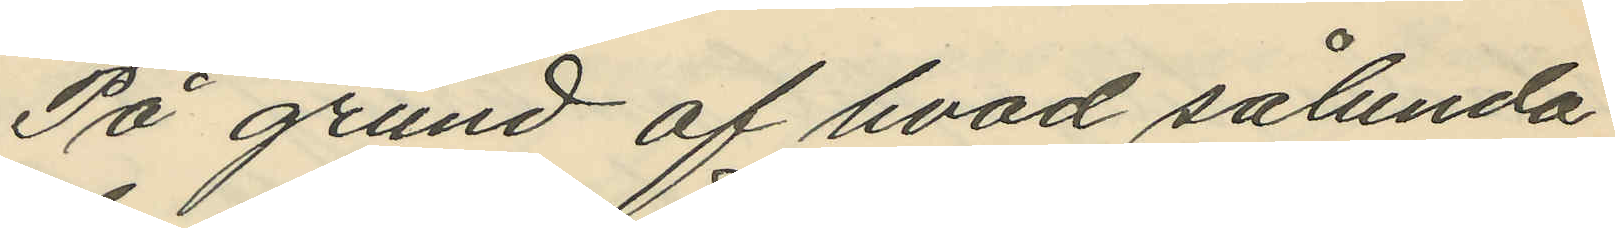På grund af hvad sålunda
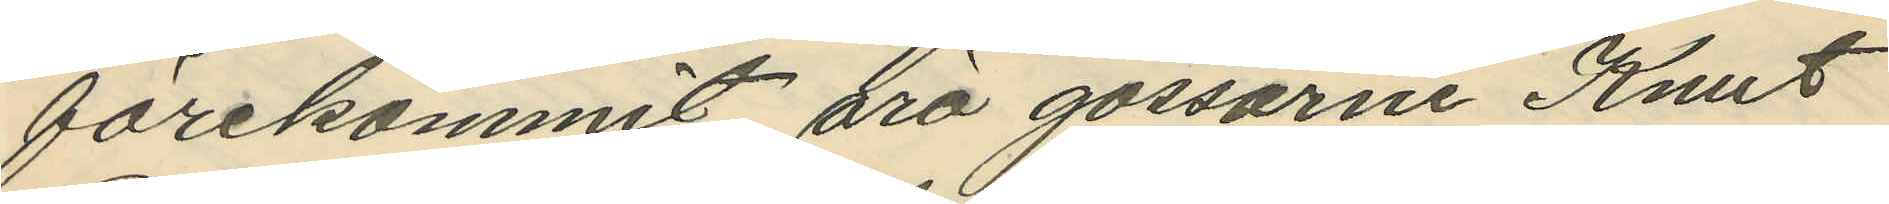förekommit, äro gossarne Knut
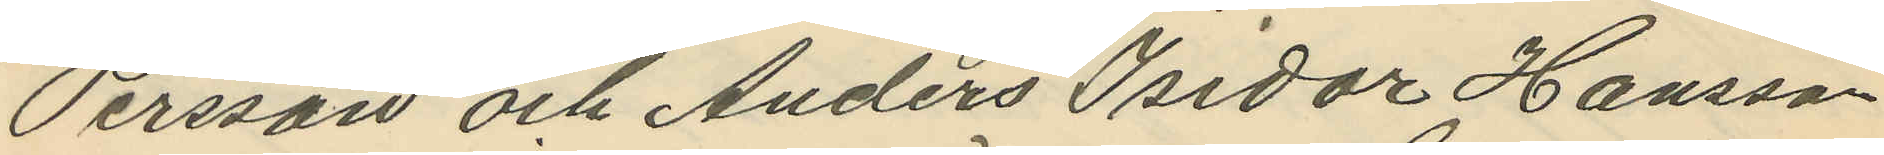Persson och Anders Isidor Hansson
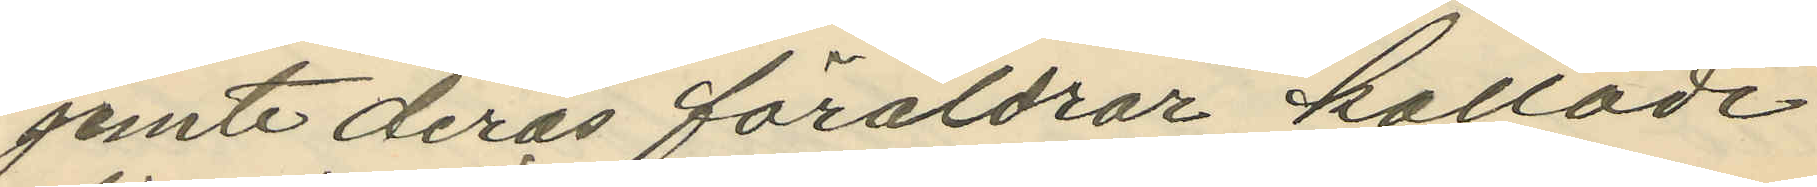jemte deras föräldrar kallade
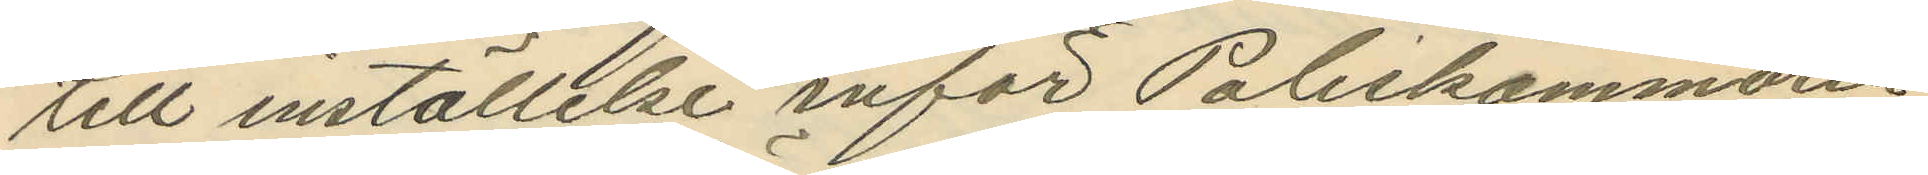till inställelse inför Poliskammaren
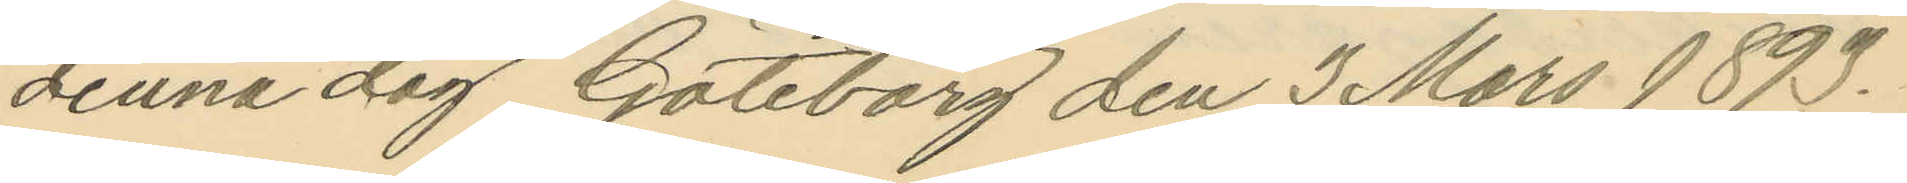denna dag Göteborg den 3 Mars 1893.
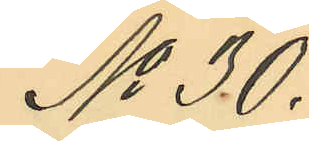No 30.
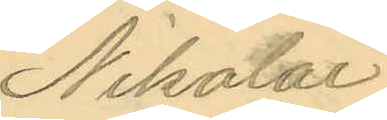Nikolai
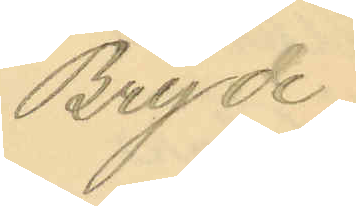Bryde
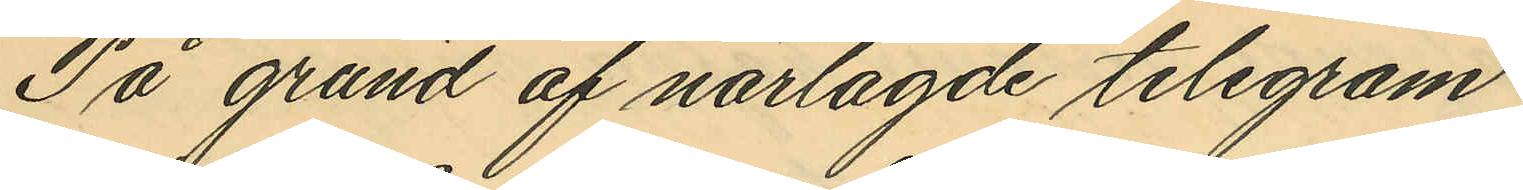På grund af närlagde telegram
